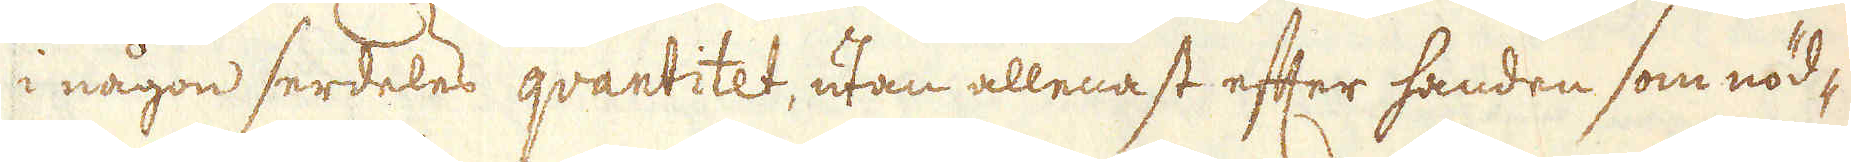i någon serdeles qvantitet, utan allenast efter handen som nöd-
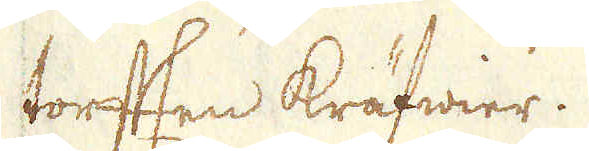torften kräfwier.
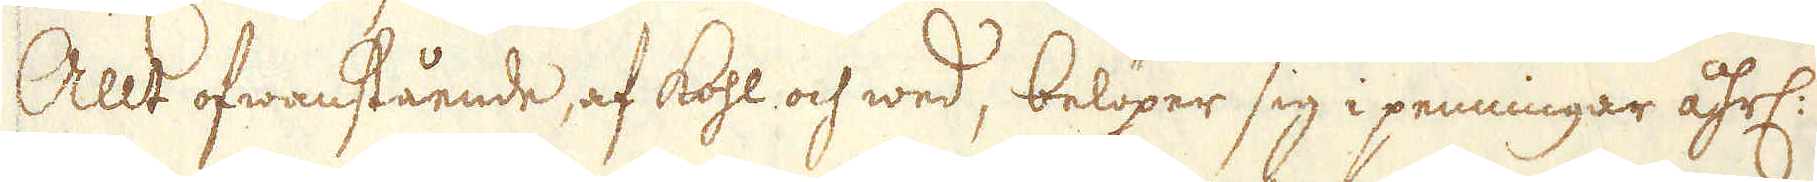Allt ofwanstående, af kohl och wed, belöper sig i penningar åhrl:
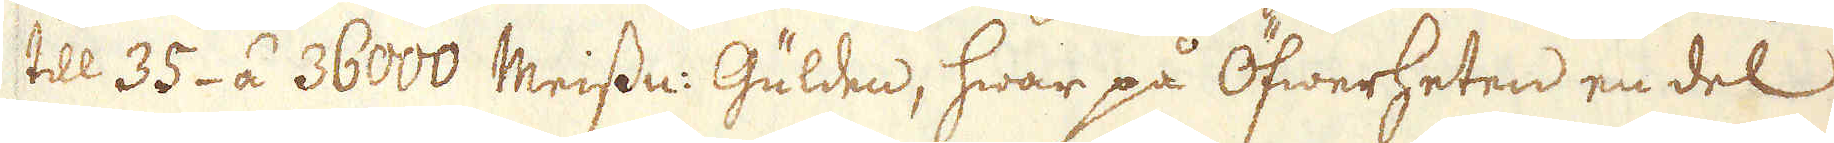till 35- á 36000 Meissn: Gülden, hwar på Öfwerheten en del
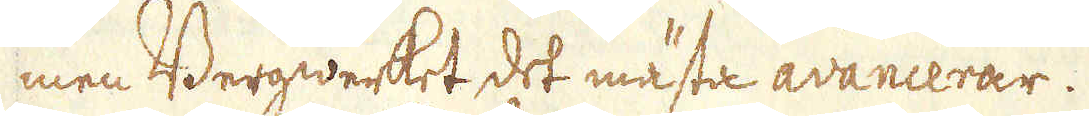men Bergwerket det mästa avancerar.
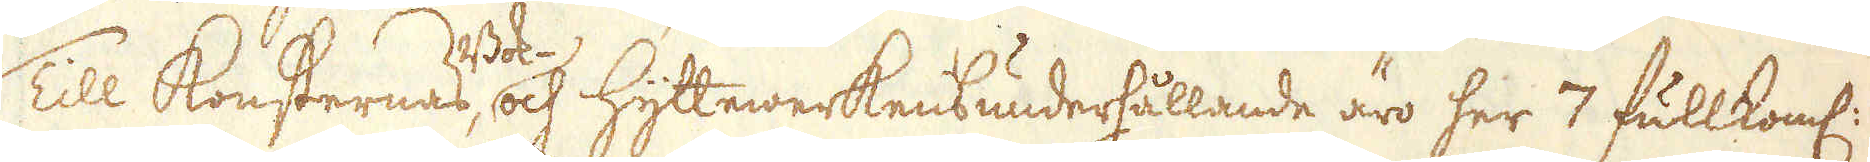Till Konsternas, Bok- och Hyttewerkens underhållande äro her 7 fullkoml:
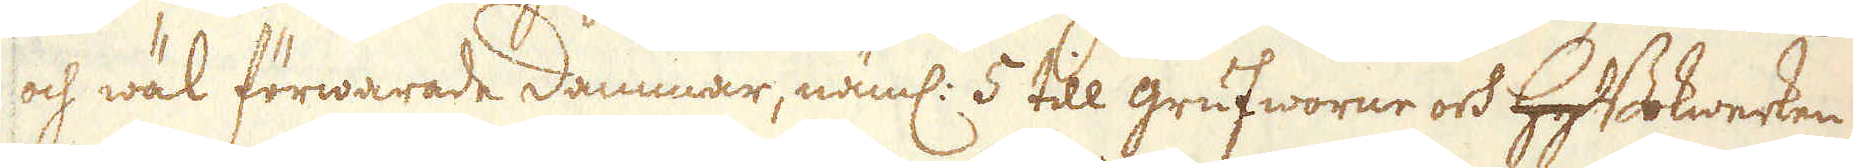och wäl förwarade dammar, näml: 5 till grufworne och hytBokwerken
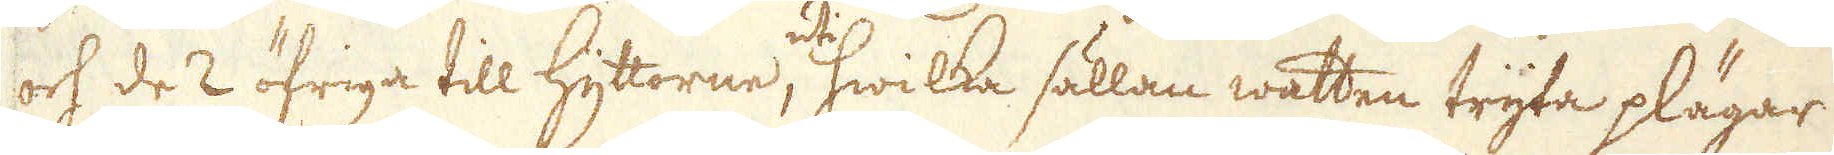och de 2 öfriga till Hyttorne, uti hwilka sällan watten tryta plägar
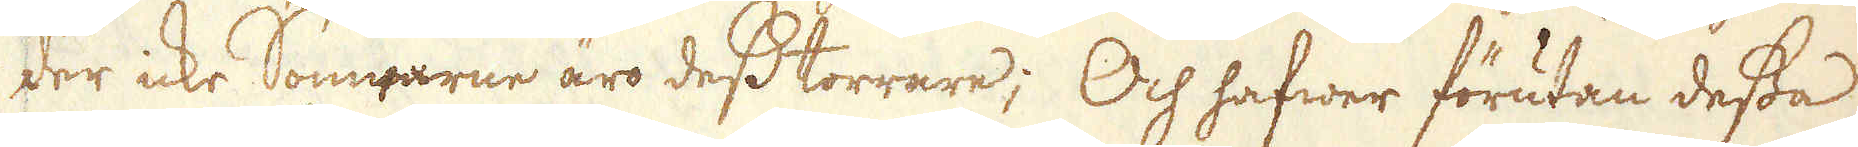der icke Somrarne äro dess torrare; Och hafwer förutan dessa
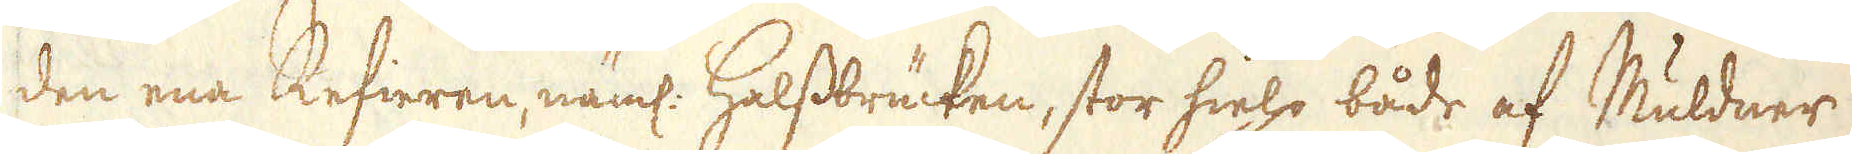den ena Refieren, näml. Halssbrücken, stor hielp både af Muldner
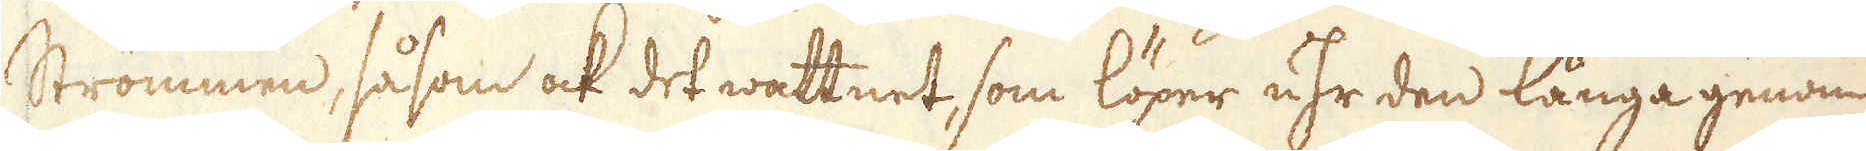Strommen, såsom ock det wattnet, som löper uhr den långa genom
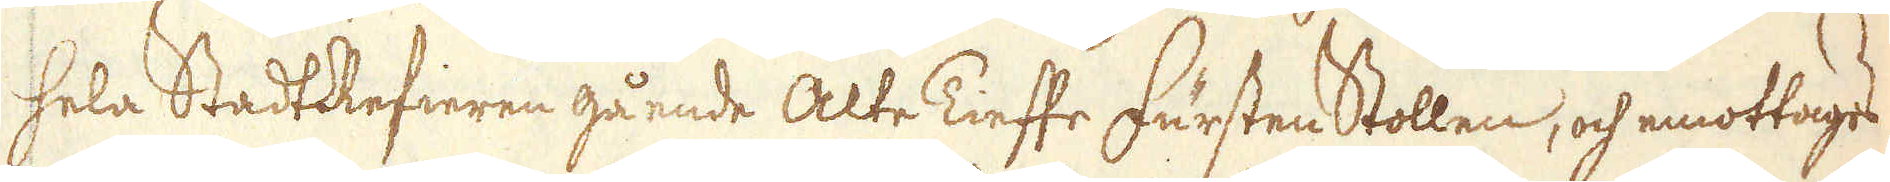hela StadtRefieren gående Alte Tieffe Fursten Stollen, och emottages
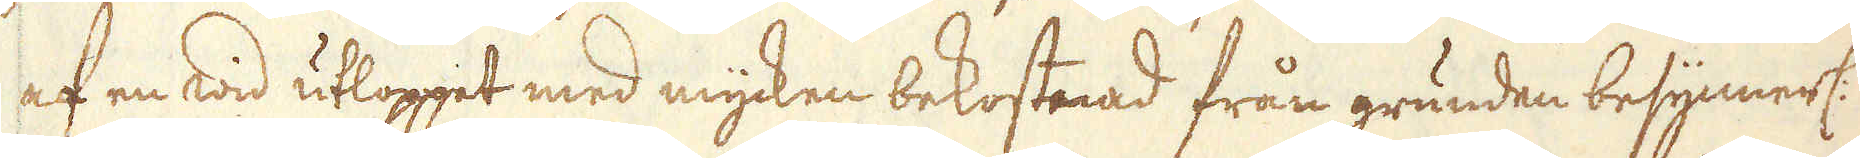af en wid utloppet med mycken bekostnad från grunden besynnerl:
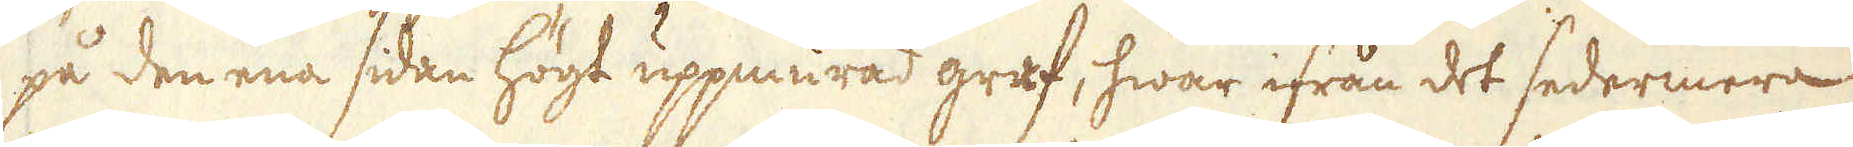på den ena sidan högt uppmurad graf, hwar ifrån det sedermera
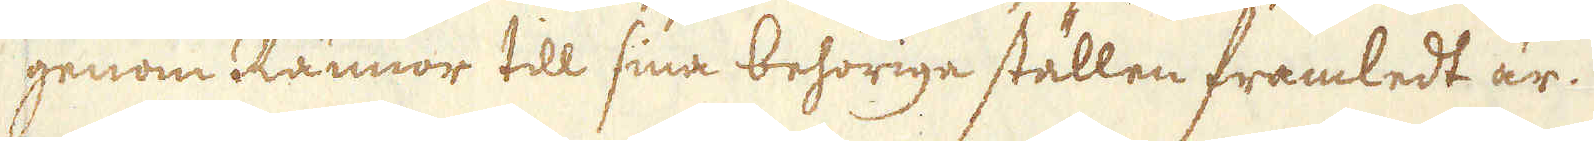genom Rännor till sina behoriga ställen framledt är.
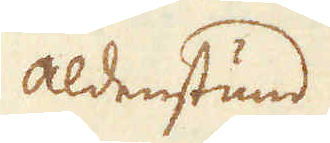Aldenstund.
